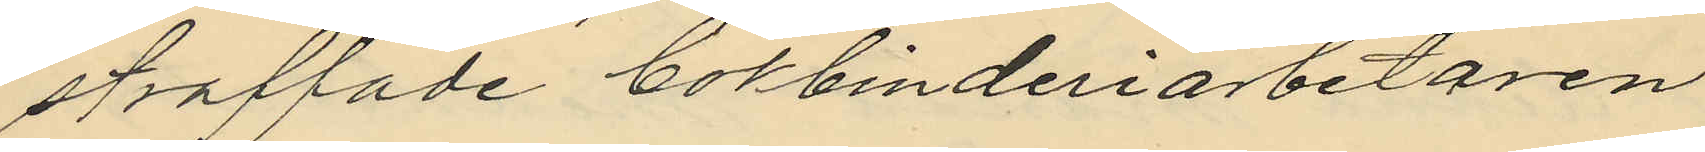straffade bokbinderiarbetaren
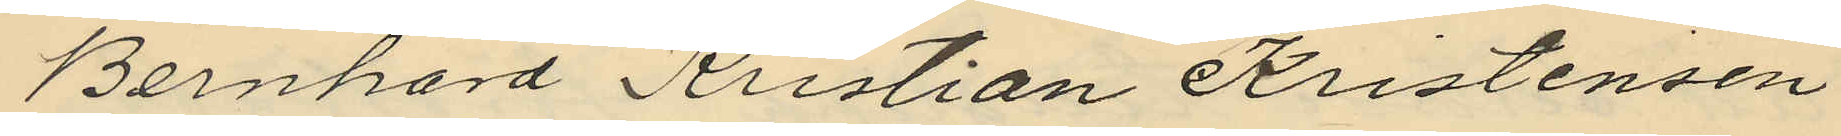Bernhard Kristian Kristensen
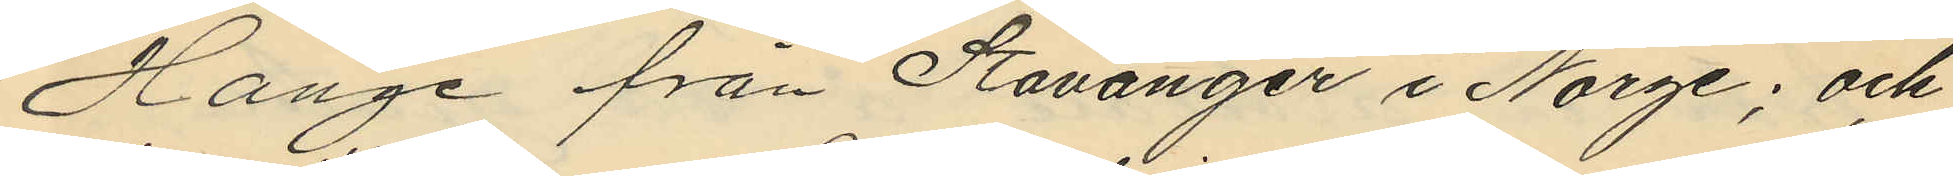Hange från Stavanger i Norge; och
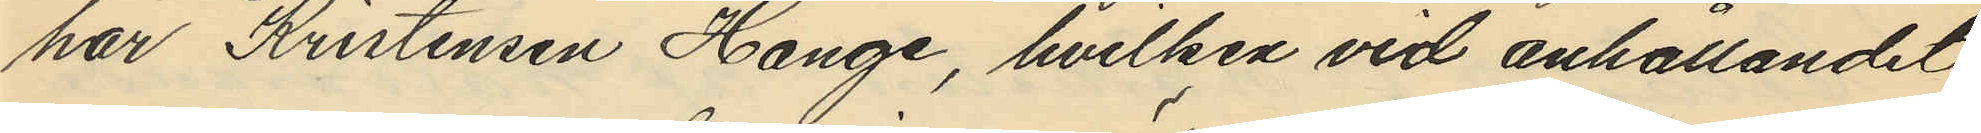har Kristensen Hange, hvilken vid anhållandet
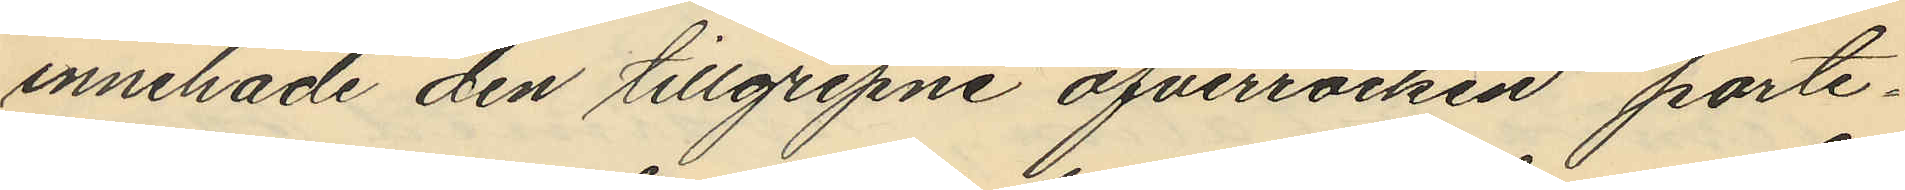innehade den tillgripne öfverrocken porte¬
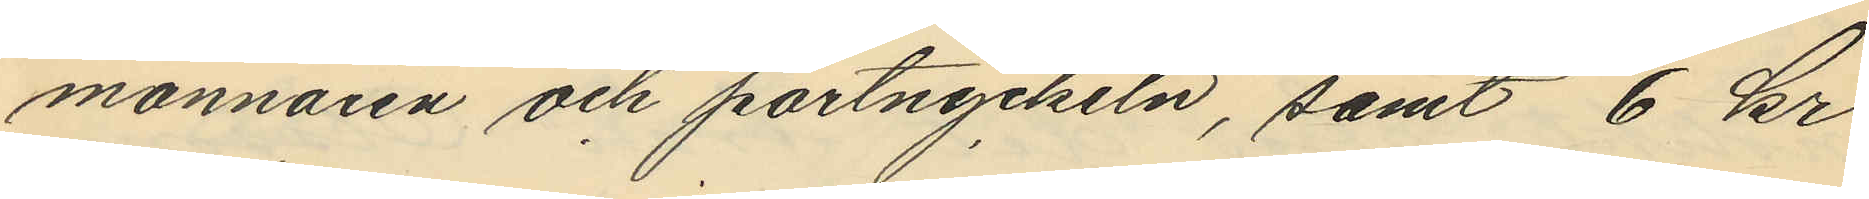monnaien och portnyckeln, samt 6 kr
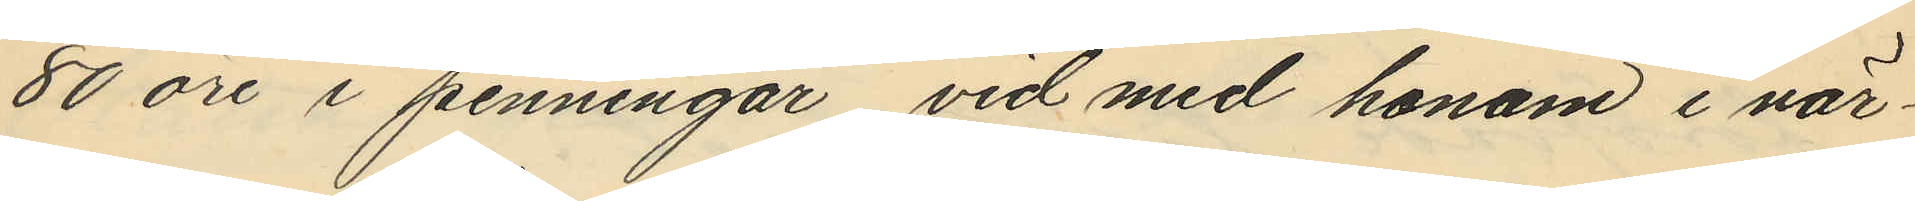80 öre i penningar vid med honom i när¬
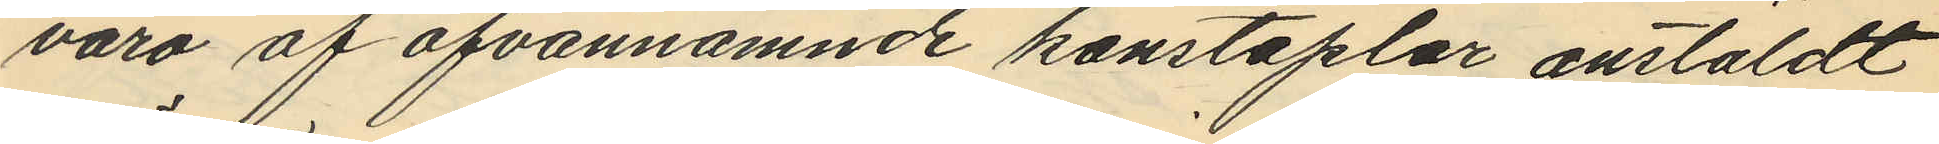varo af ofvannämnde konstaplar anstäldt
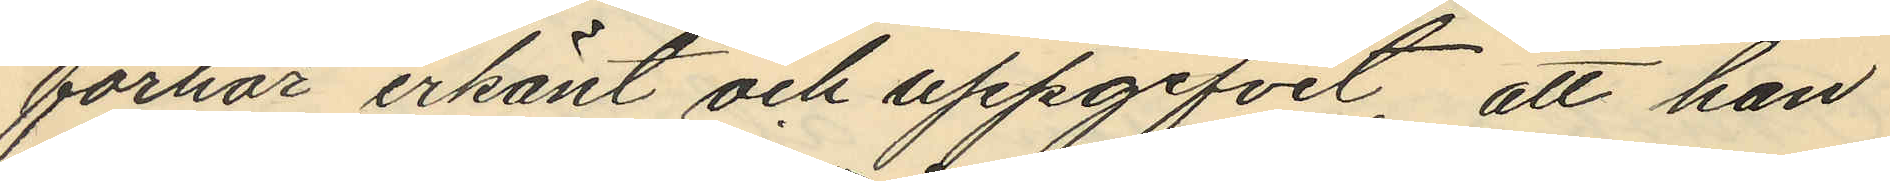förhör erkänt och uppgifvit, att han
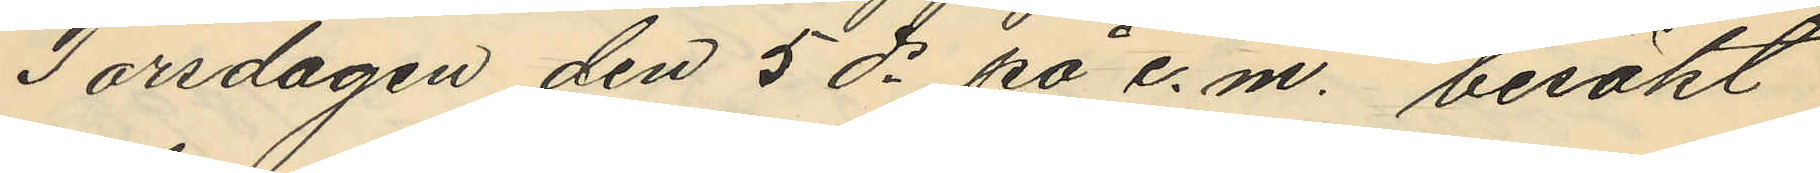Torsdagen den 5 ds på e. m. besökt
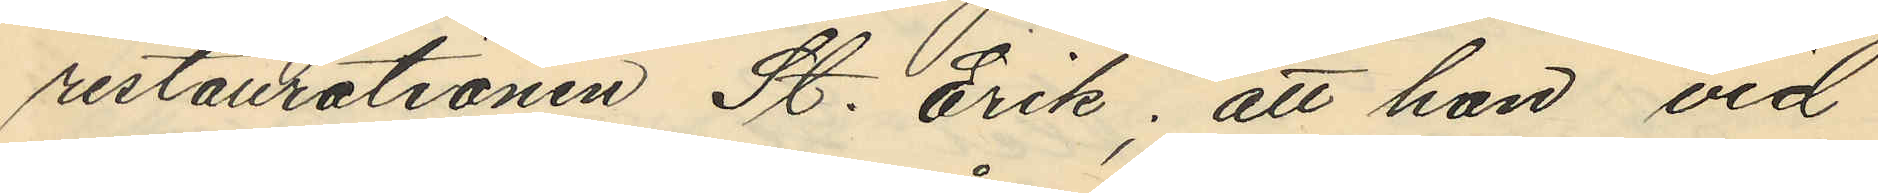restaurationen St. Erik; att han vid
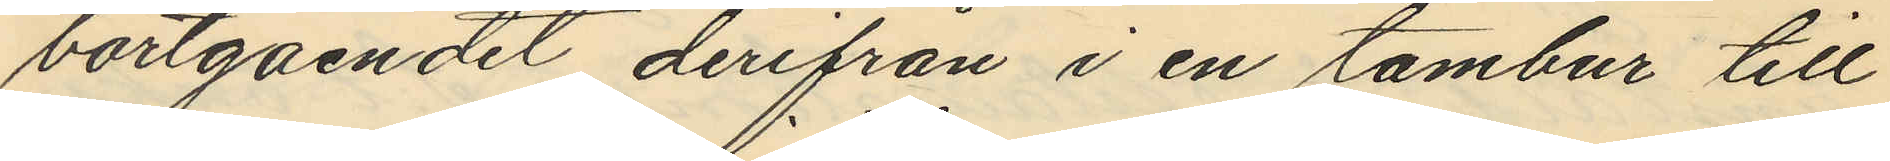bortgåendet derifrån i en tambur till
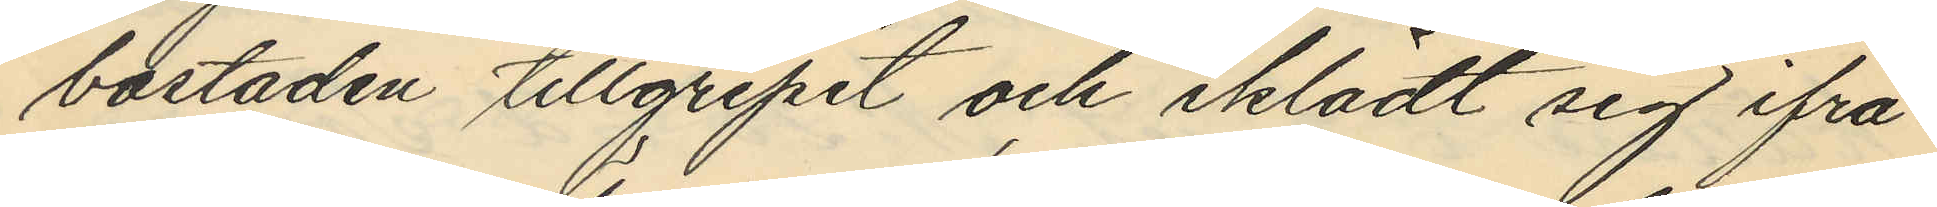bostaden tillgripit och iklädt sig ifrå¬
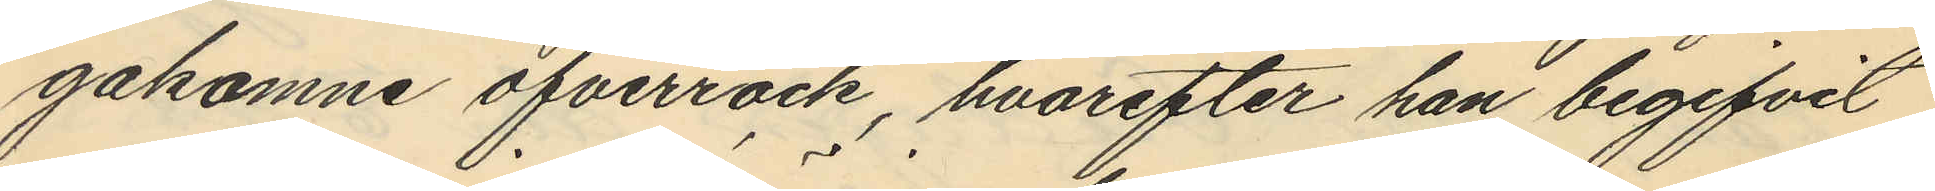gakomne öfverrock, hvarefter han begifvit
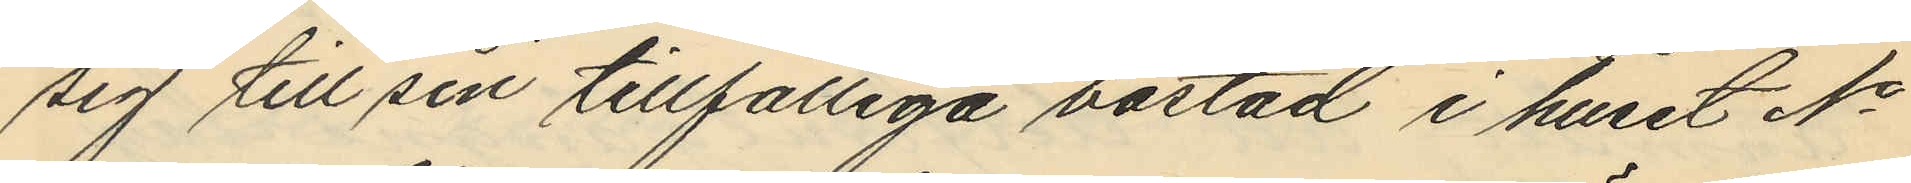sig till sin tillfälliga bostad i huset No
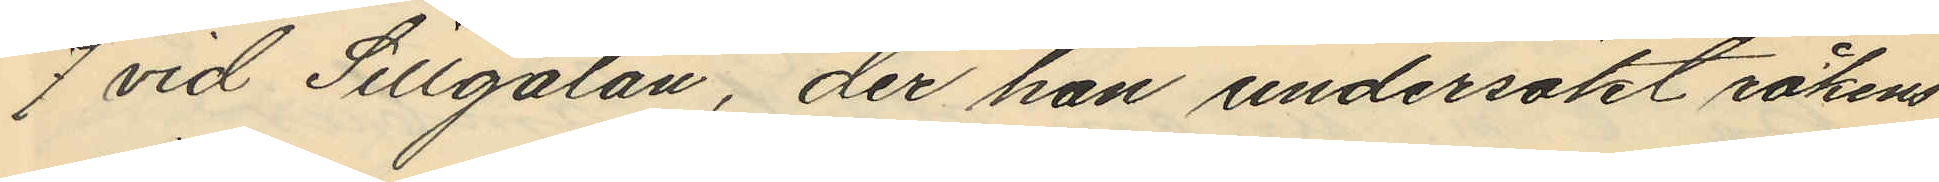7 vid Sillgatan, der han undersökt rockens
